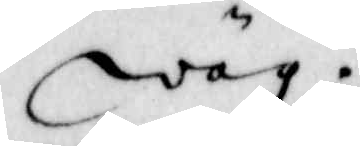wäg.
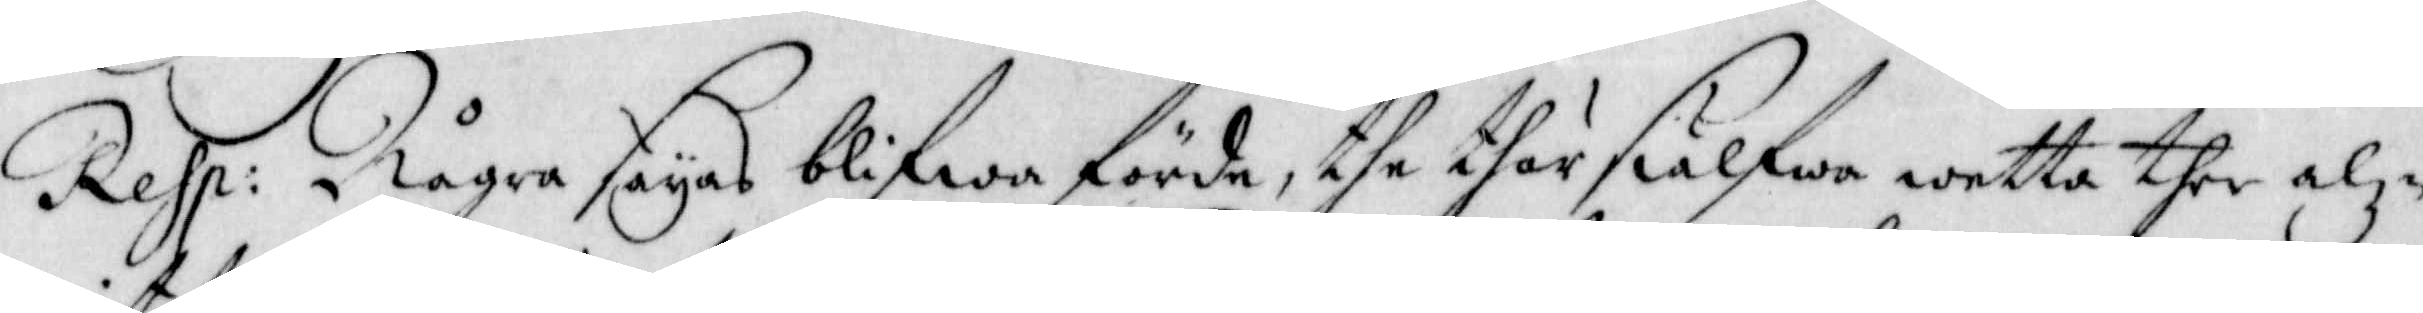Resp: Några sayas blifwa förde, the thär siälfwa wetta ther alz-
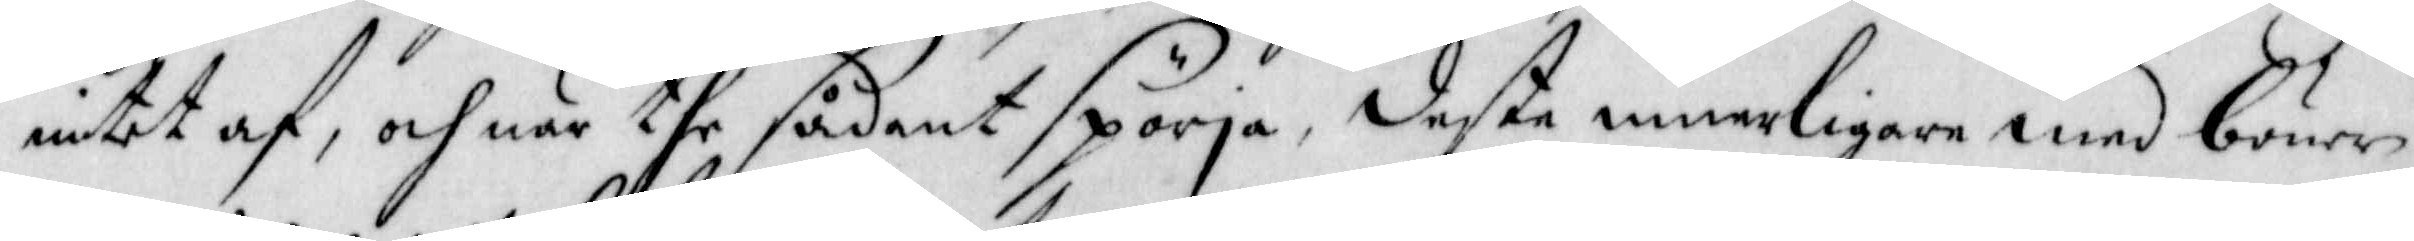intet af, och när the sådant spörja, deste innerligare med böner
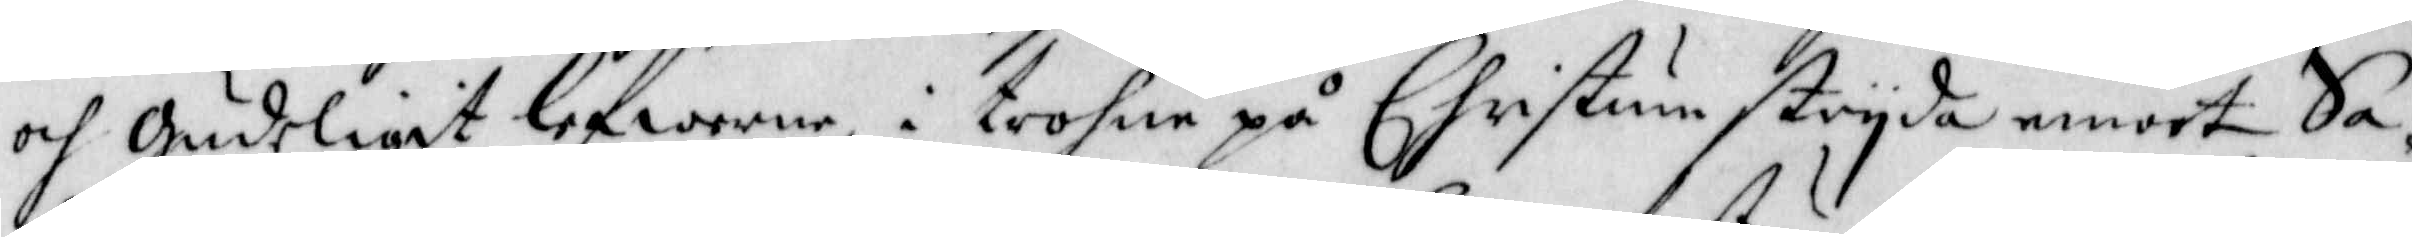och gudeligit lefwerne, i trohne på Christum stryda emoot Sa¬
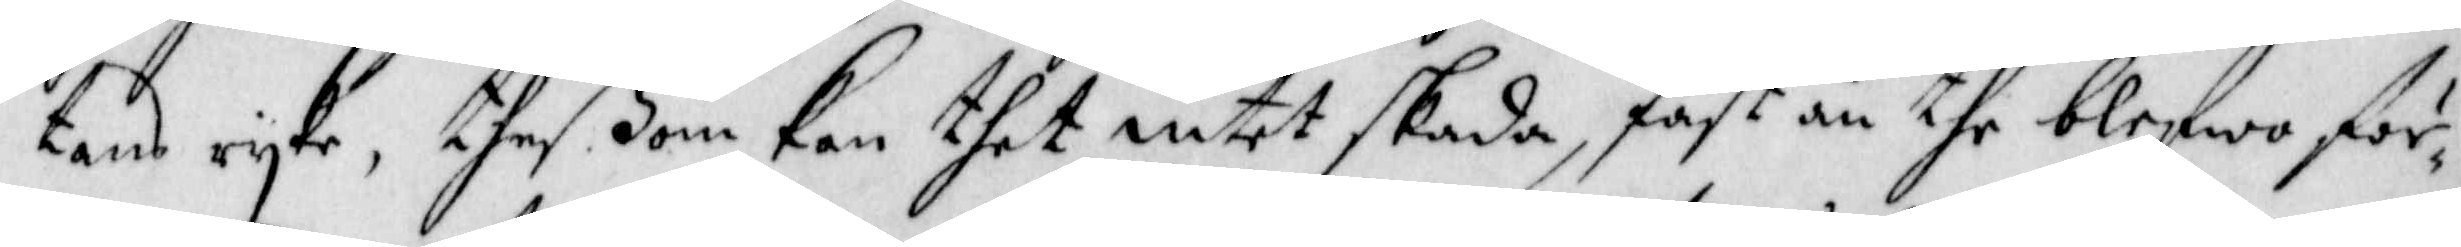tans ryke, theßom kan thet intet skada, fast än the blefwo för¬
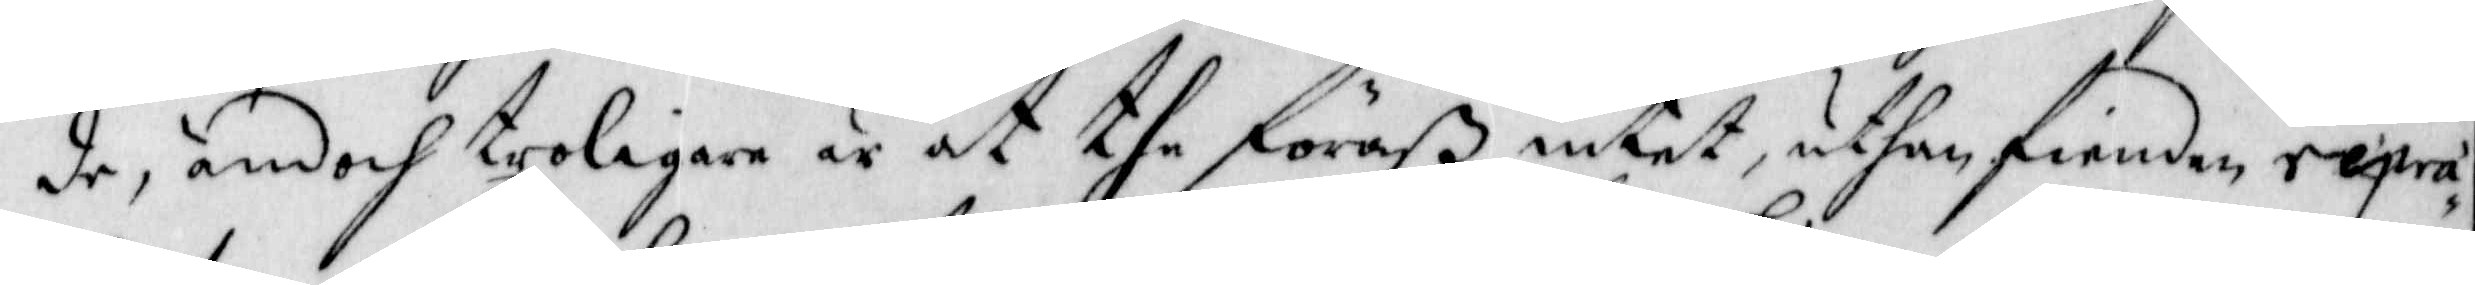de, ändoch troligare är at the föraß intet, uthan fienden repra¬
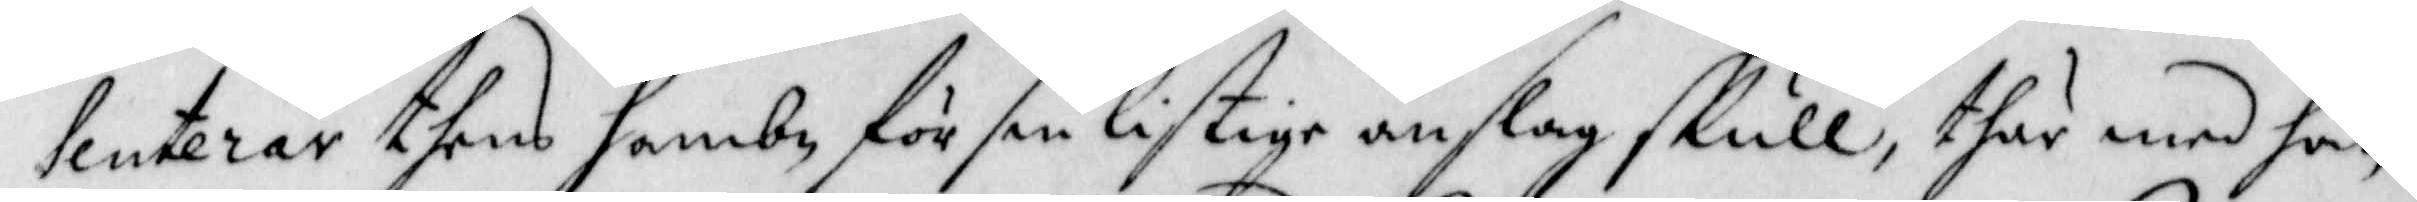senterar thens hambn för sin listige anslag skull, thär med han
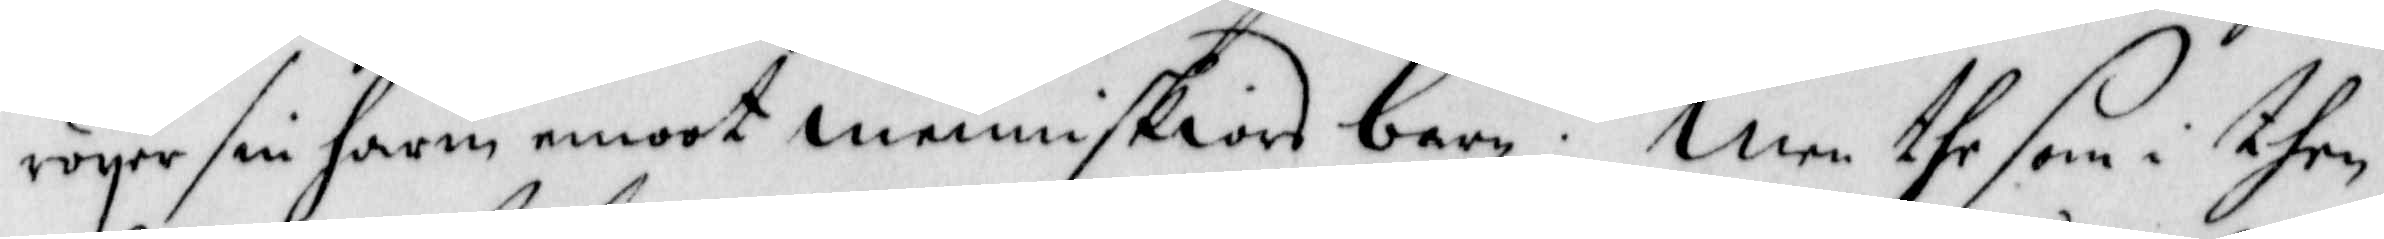röyer sin harm emoot menniskiors barn. Men the som i then
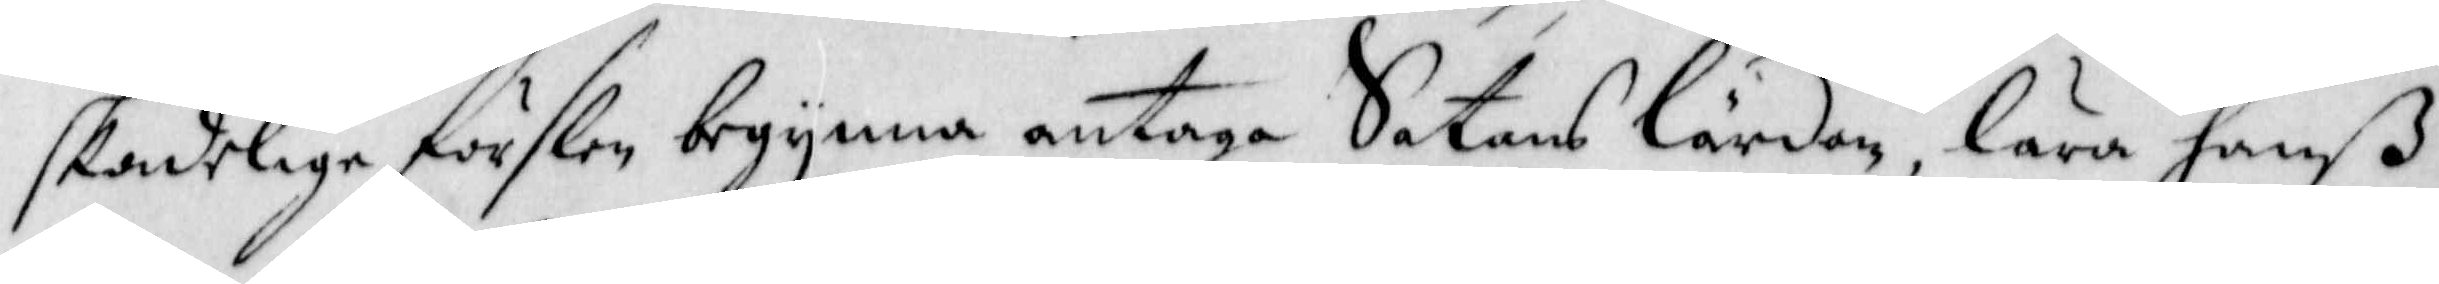skadelige förslen begynna antaga Satans lärdom, lära hanß
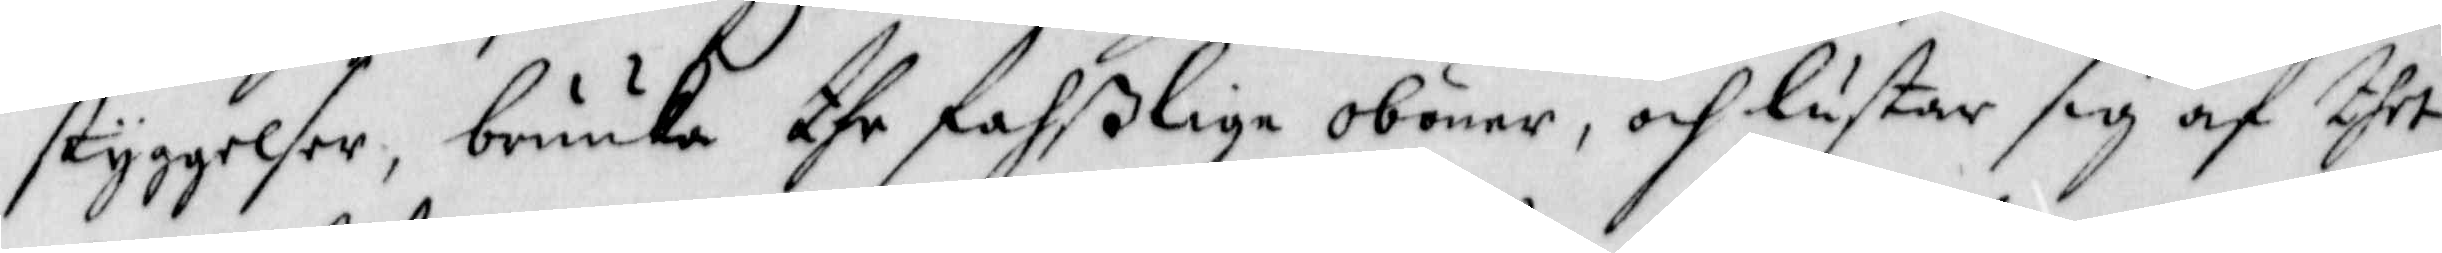styggelser, bruuka the fahßlige obönar, och lustar sig af thet
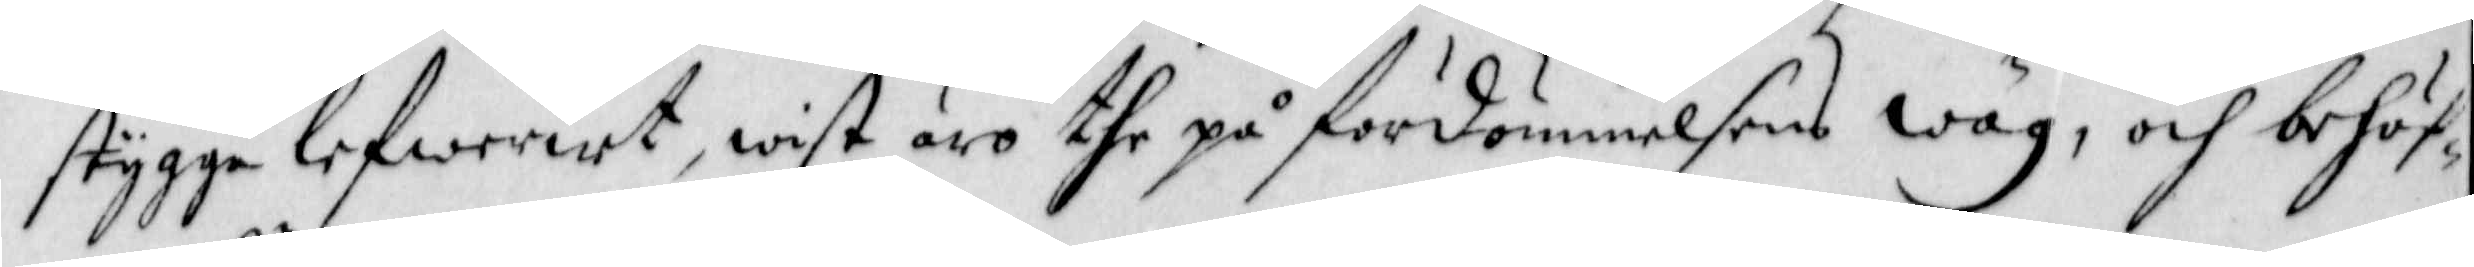stygga lefwereet, wist äro the på fördömmelsens Wäg, och behöf¬
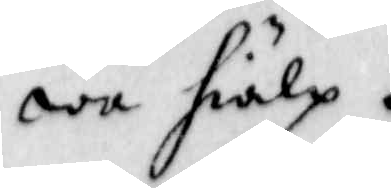wa hiälp.
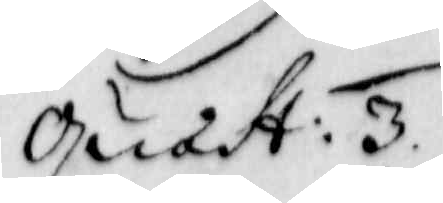Quast: 3.
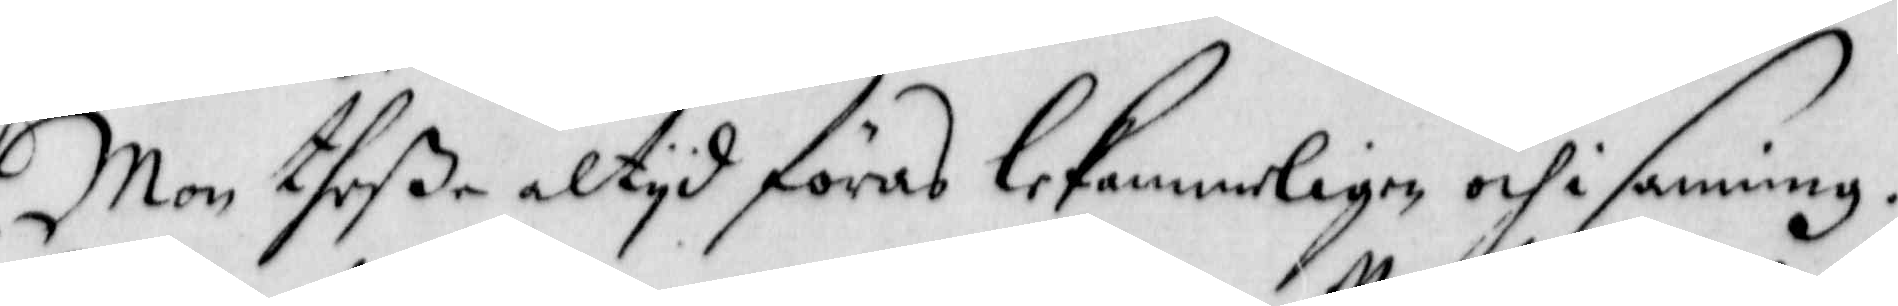Mon theße altyd föras lekammerligen och i sanning.
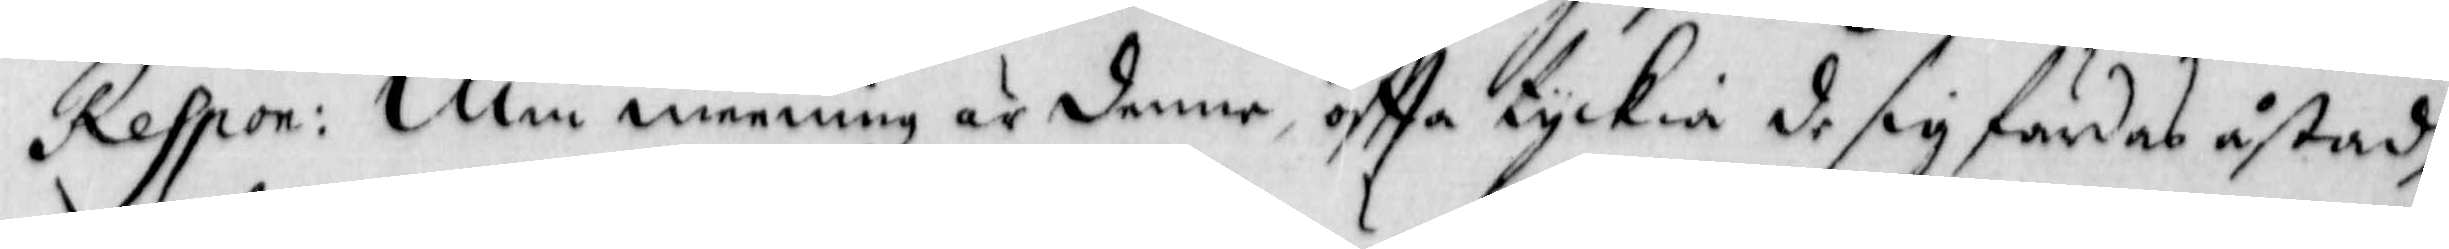Respon: Min meening är denne, offta tyckia de sig färdas åstad,
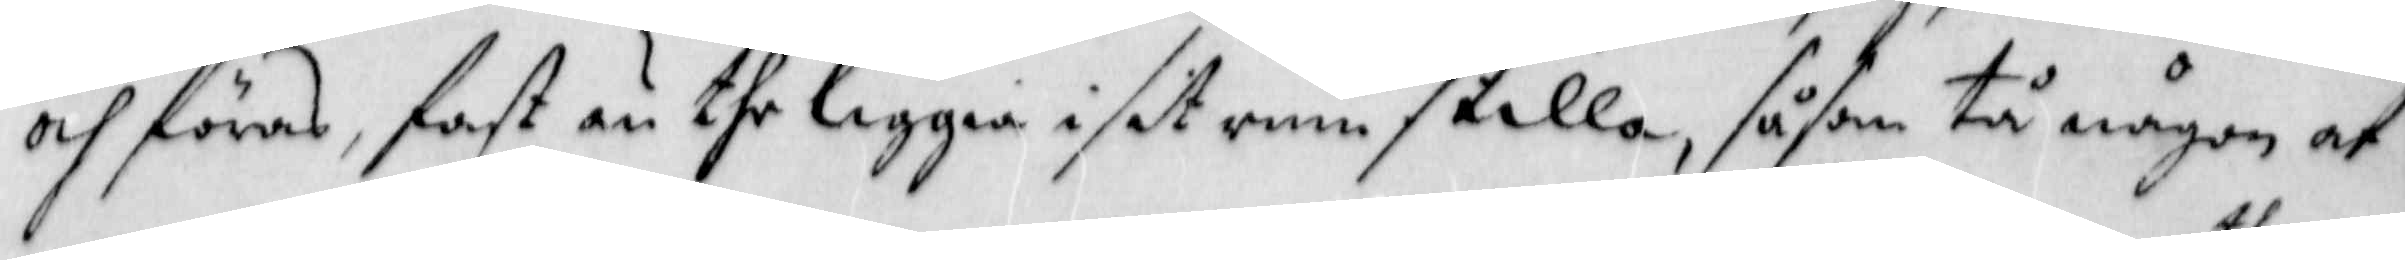och föras, fast än the liggia i sit rum stilla, såsom tå någon af
